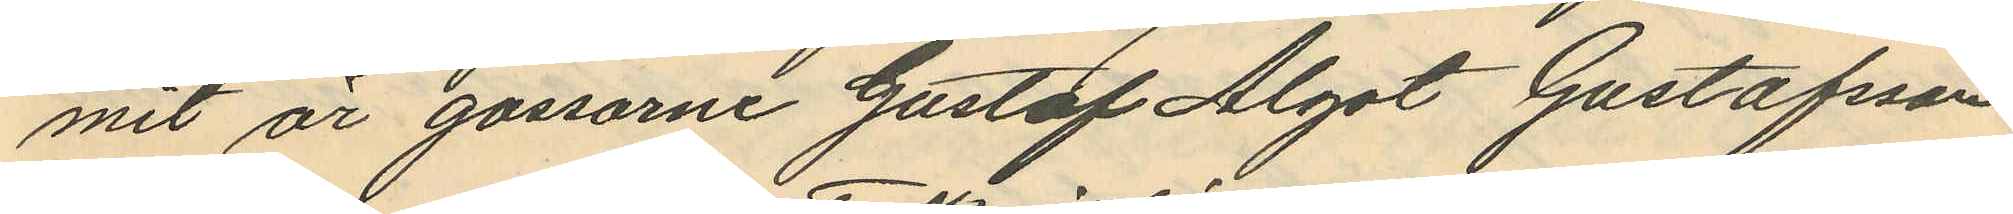mit är gossarne Gustaf Algot Gustafsson
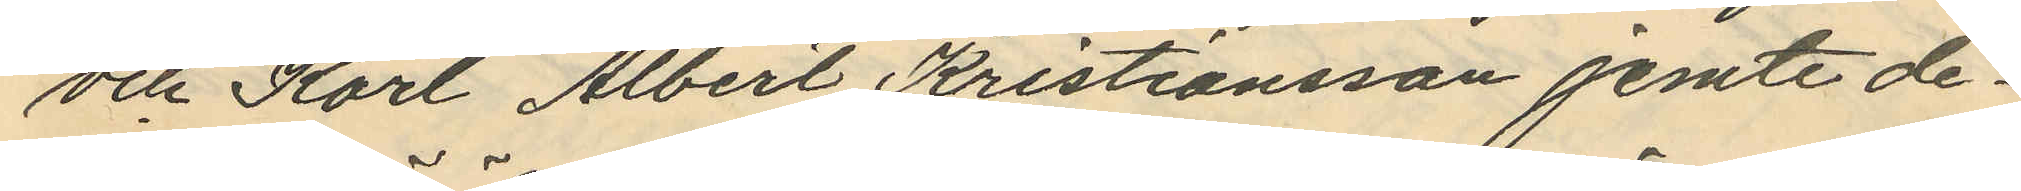och Karl Albert Kristiansson jemte de¬
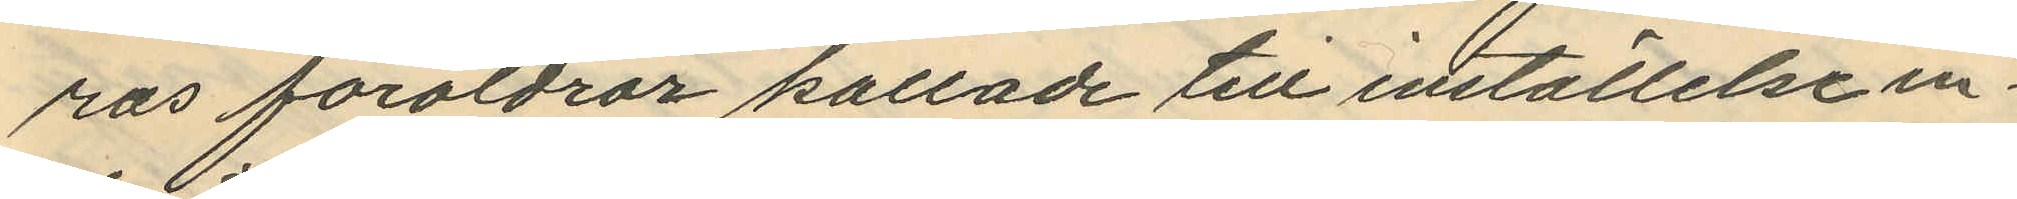ras föräldrar kallade till inställelse in¬
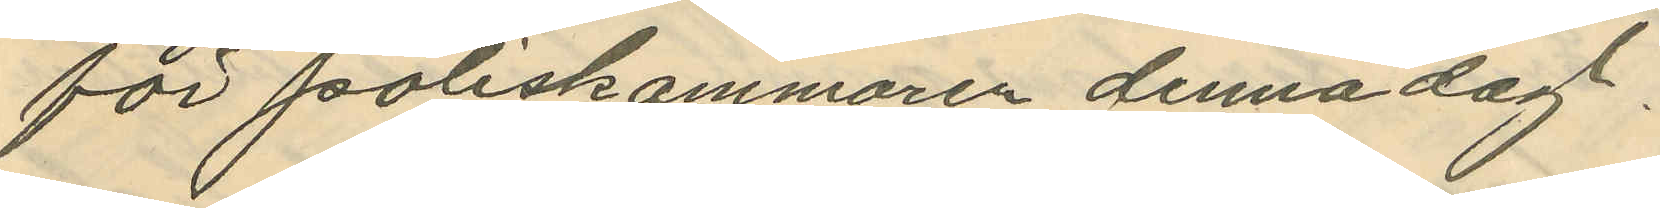för Poliskammaren denna dag.
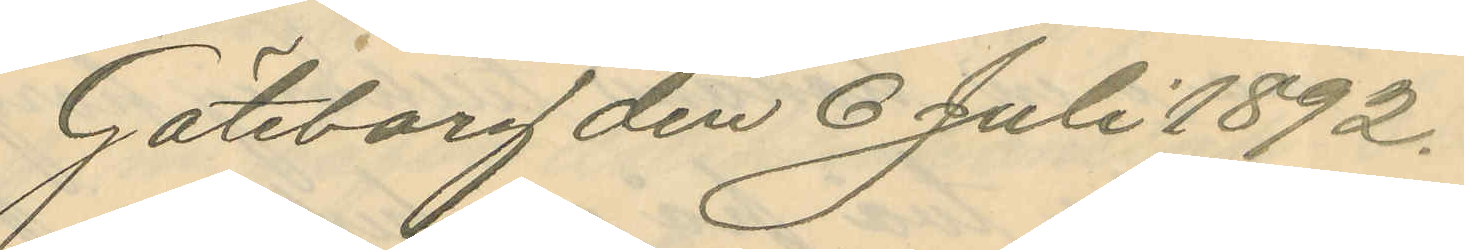Göteborg den 6 Juli 1892.
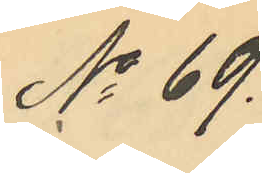No 69.
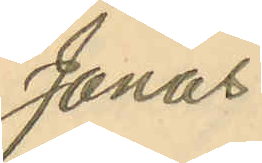Jonas
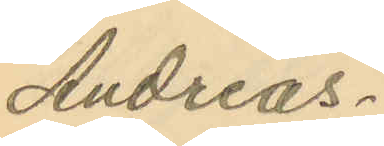Andreas¬
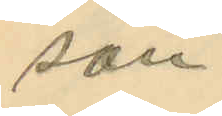son.
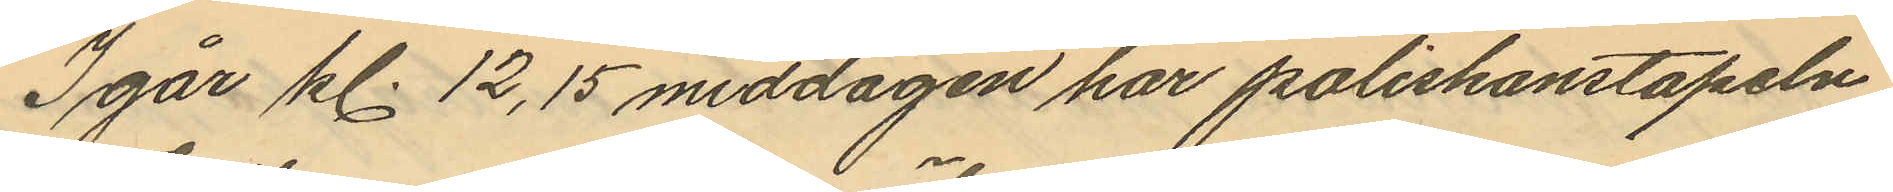Igår kl. 12,15 middagen har poliskonstapeln
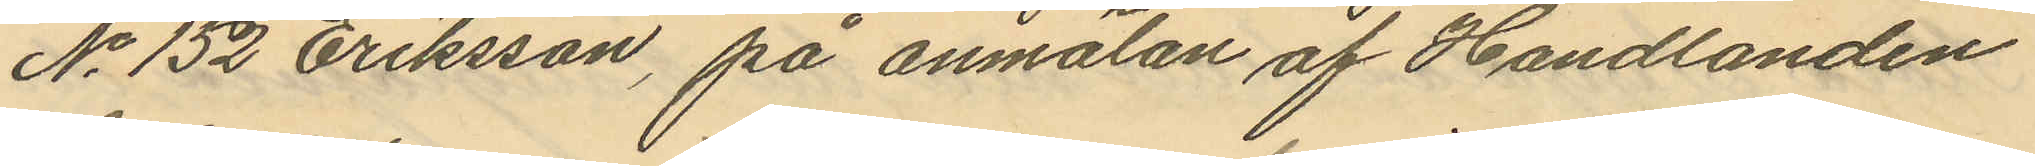No 152 Eriksson, på anmälan af Handlanden
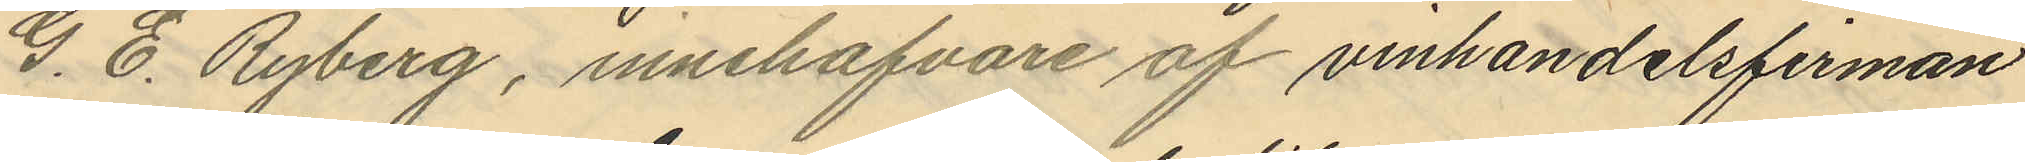G. E. Ryberg, innehafvare af vinhandelsfirman
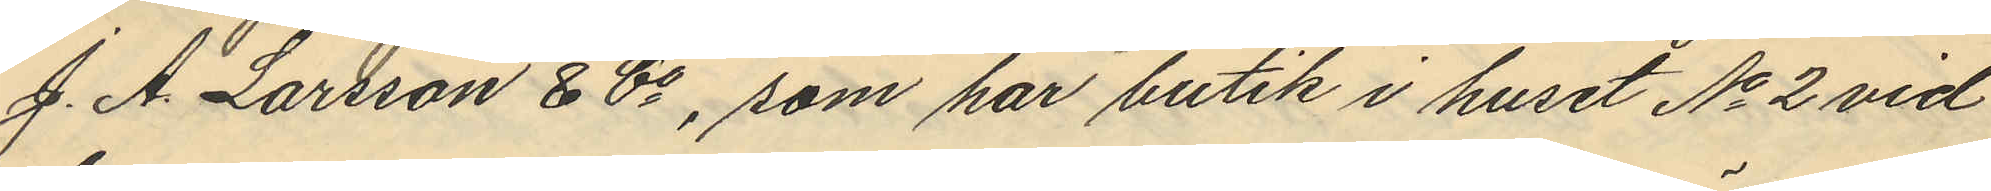J. A. Larsson & Co, som har butik i huset No 2 vid
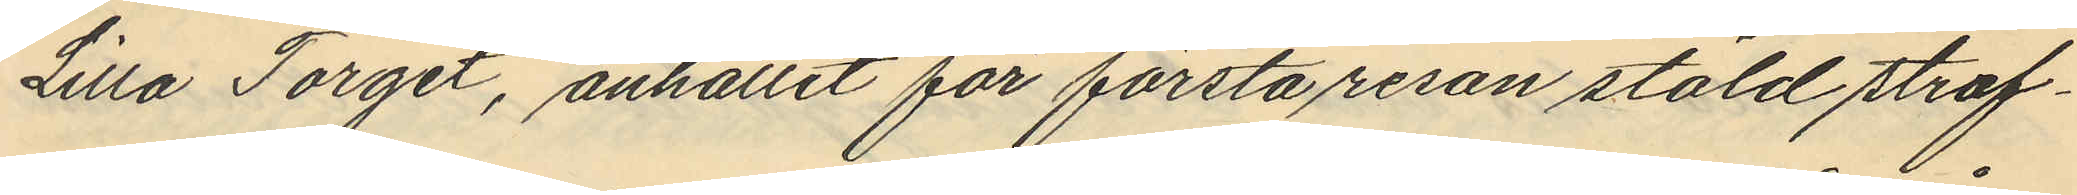Lilla Torget, anhållit för första resan stöld straf¬
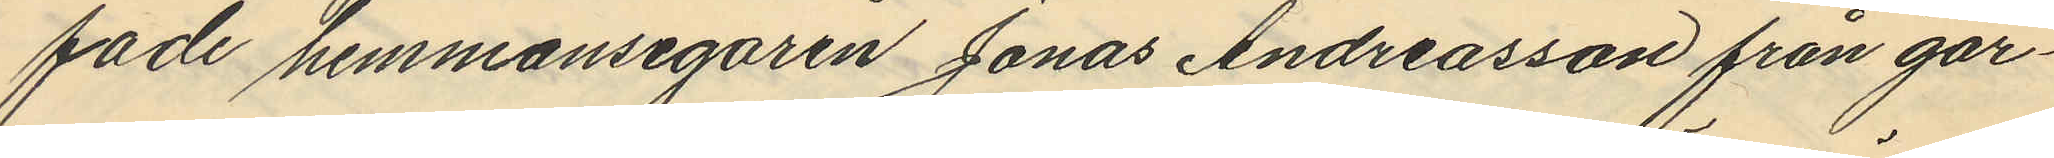fade hemmansegaren Jonas Andreasson från går¬
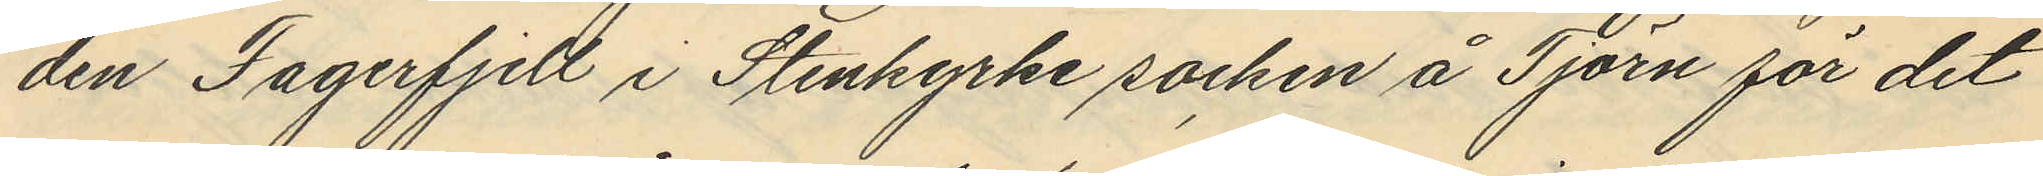den Fagerfjell i Stenkyrke socken å Tjörn för det
